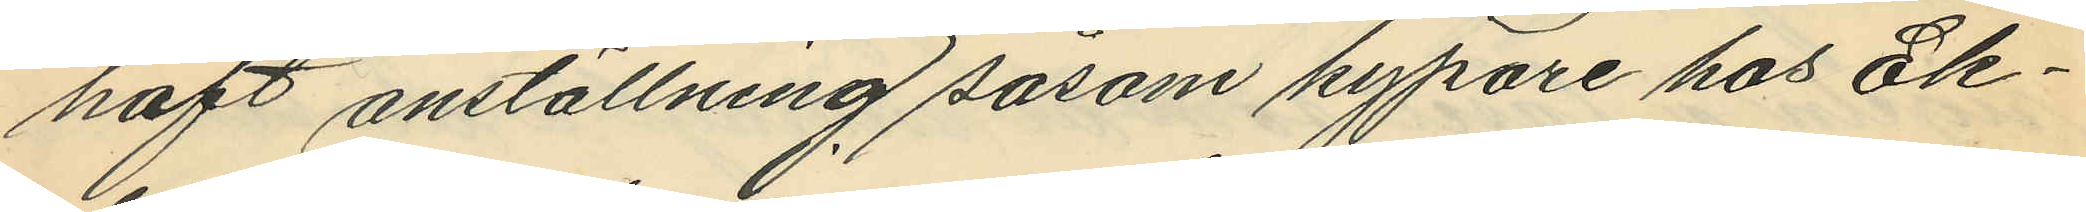haft anställning såsom kypare hos Ek¬
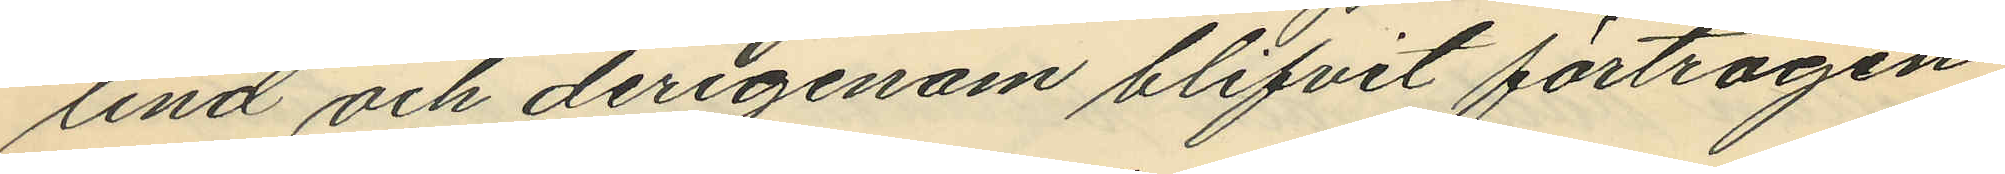lind och derigenom blifvit förtrogen
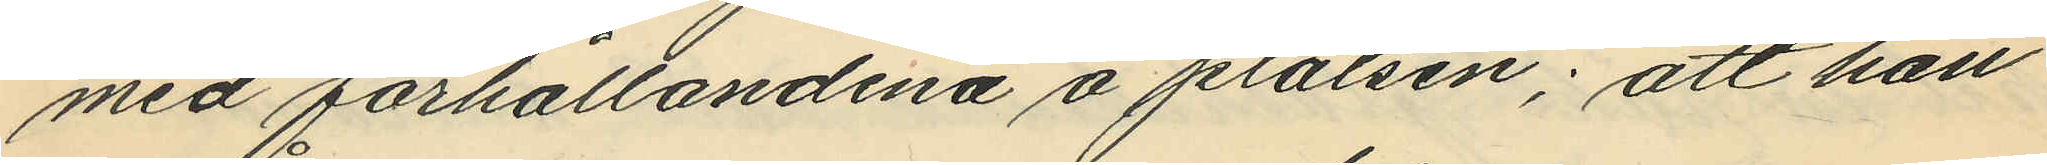med förhållandena å platsen; att han
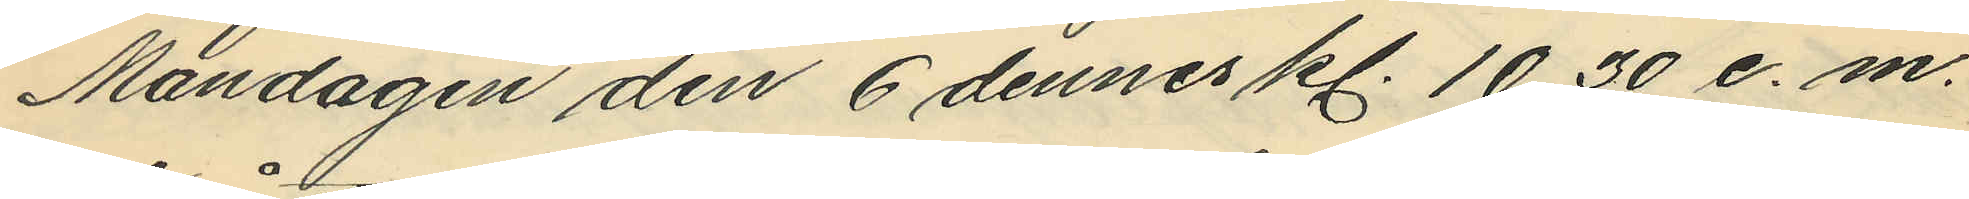Måndagen den 6 dennes kl. 10,30 e. m.
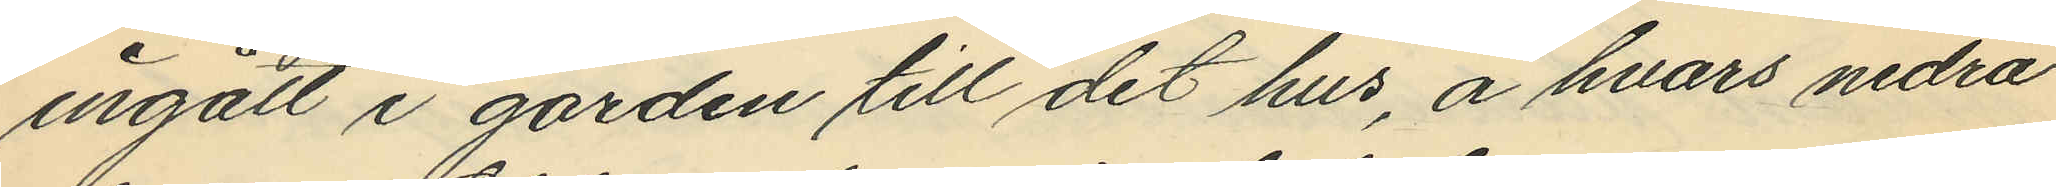ingått i gården till det hus, å hvars nedra
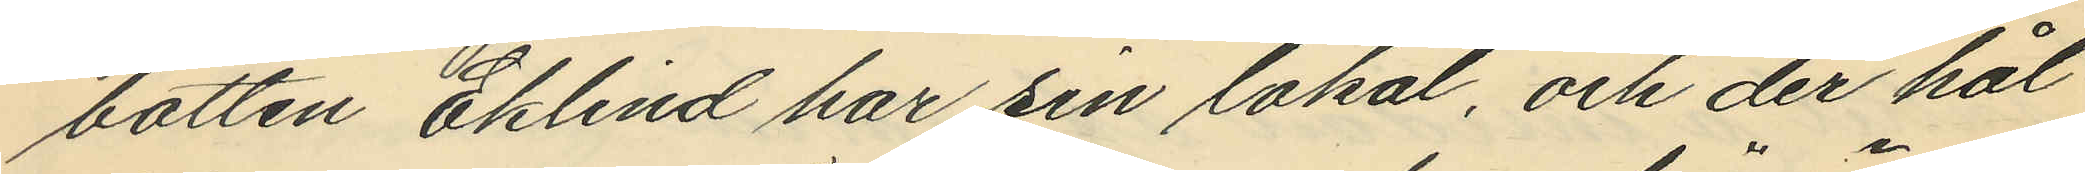botten Eklind har sin lokal, och der hål
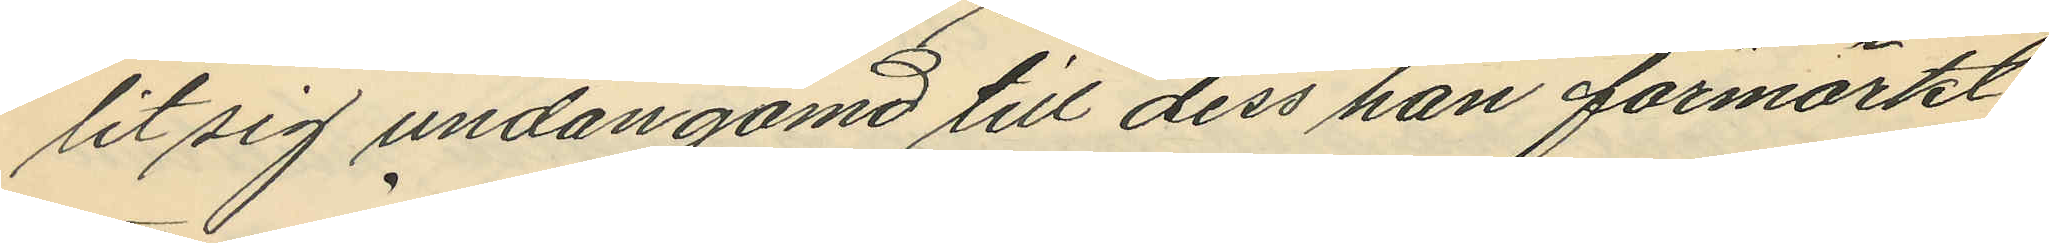lit sig undangömd till dess han förmärkt
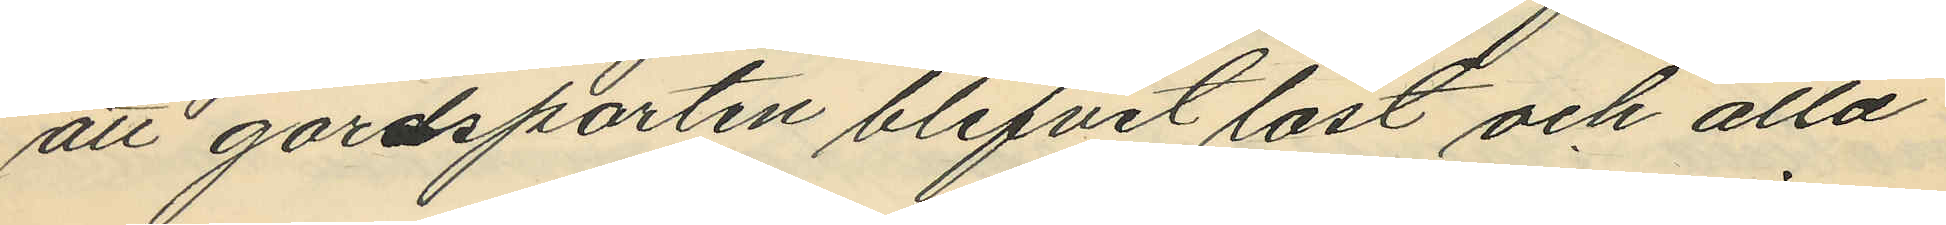att gårdsporten blifvit låst och alla
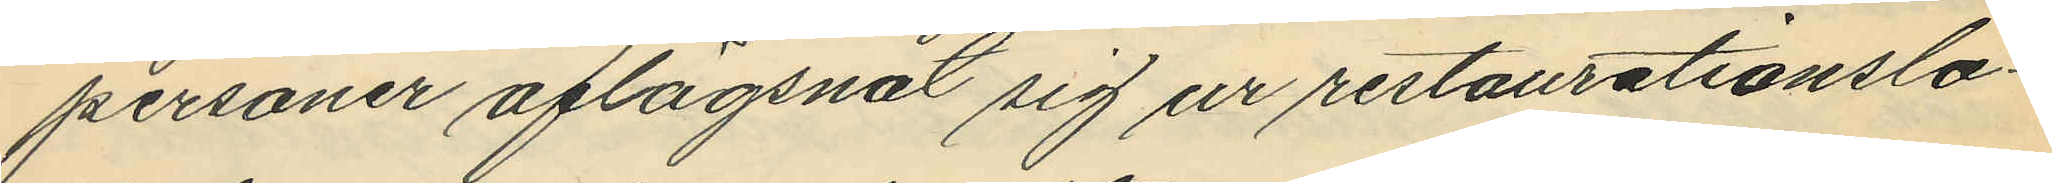personer aflägsnat sig ur restaurationslo¬
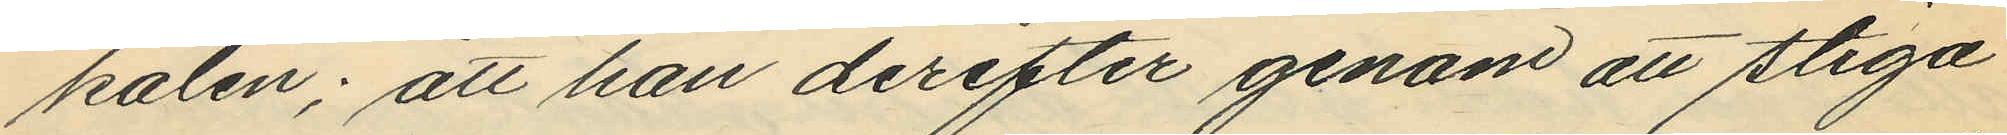kalen; att han derefter genom att stiga
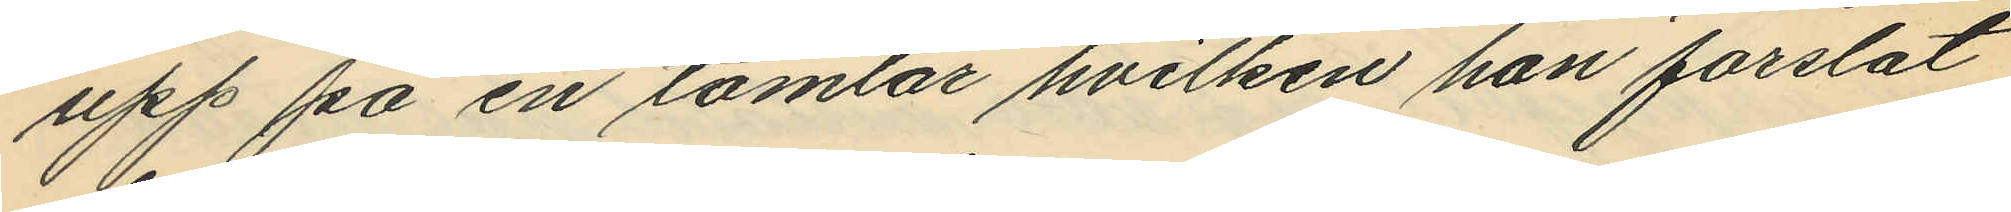upp på en tomlår hvilken han forslat
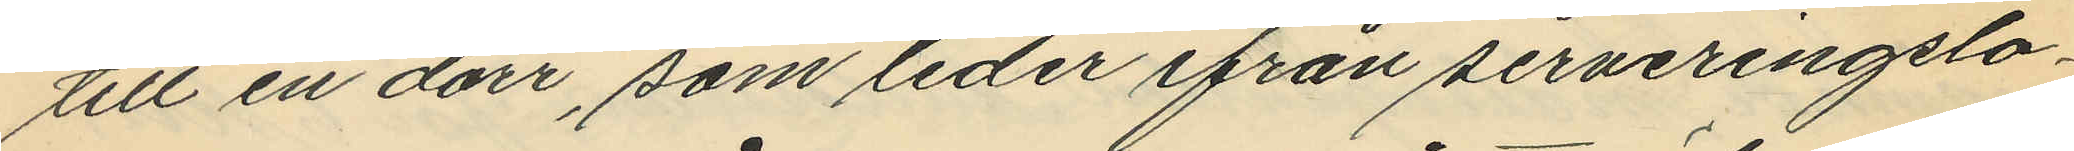till en dörr, som leder ifrån serveringslo¬
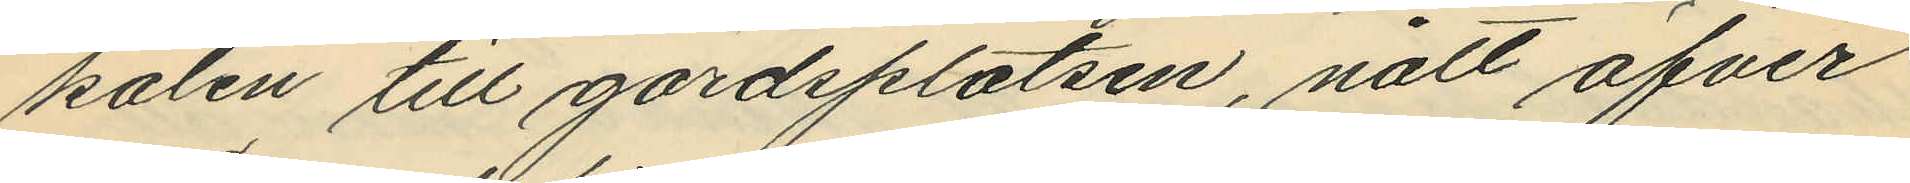kalen till gårdsplatsen, nått öfver
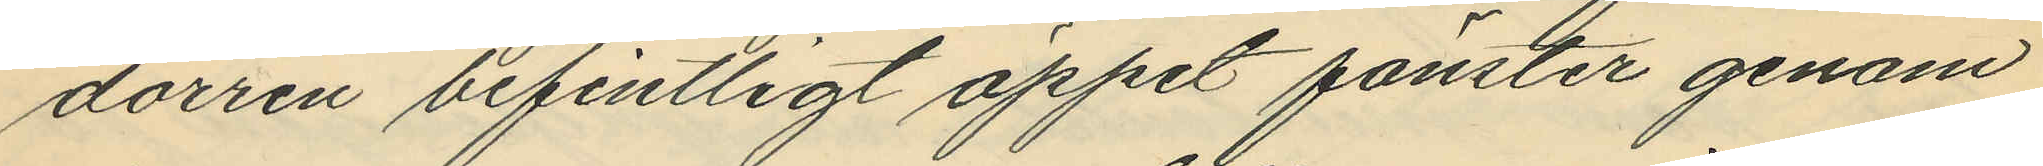dörren befintligt öppet fönster genom
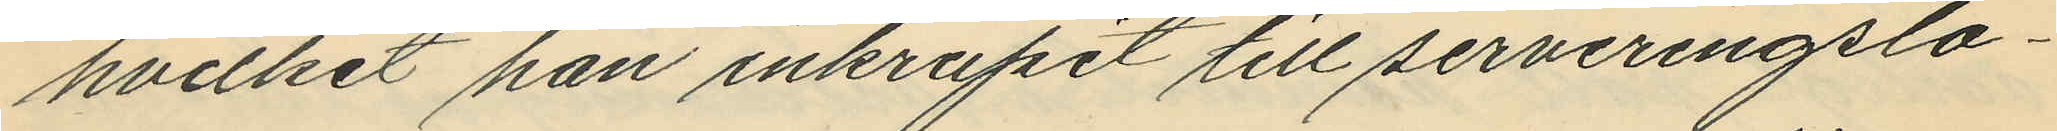hvilket han inkrupit till serveringslo¬
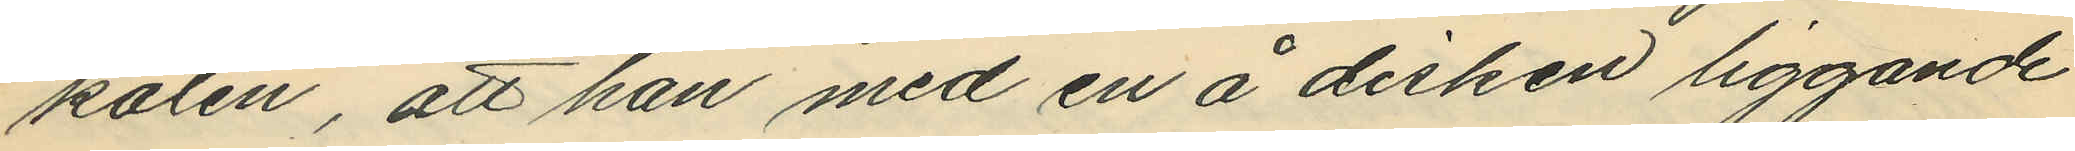kalen, att han med en å disken liggande
